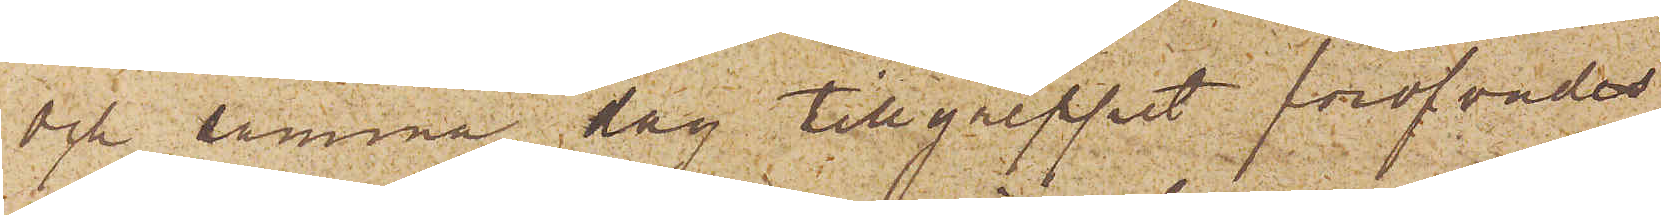och samma dag tillgreppet föröfvades
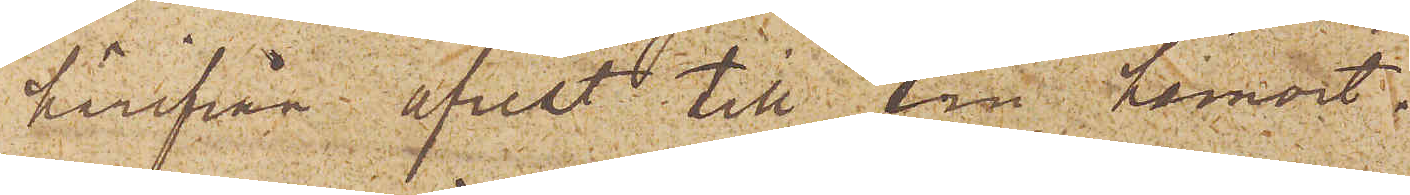härifrån afrest till sin hemort.
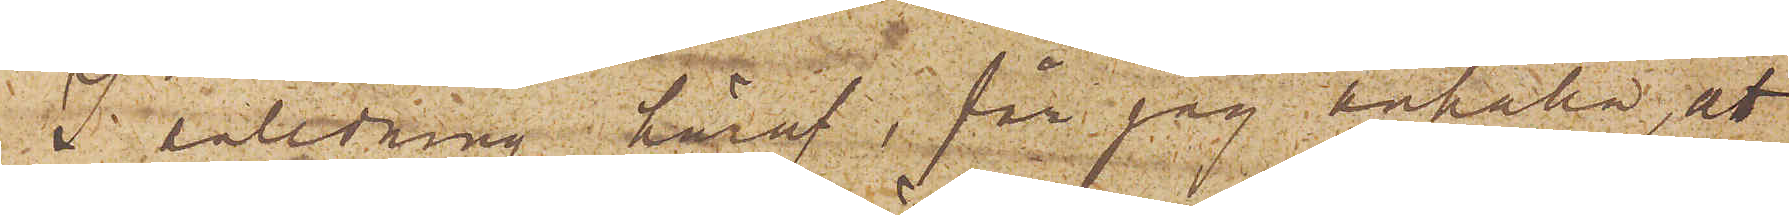I anledning häraf, får jag anhålla; att
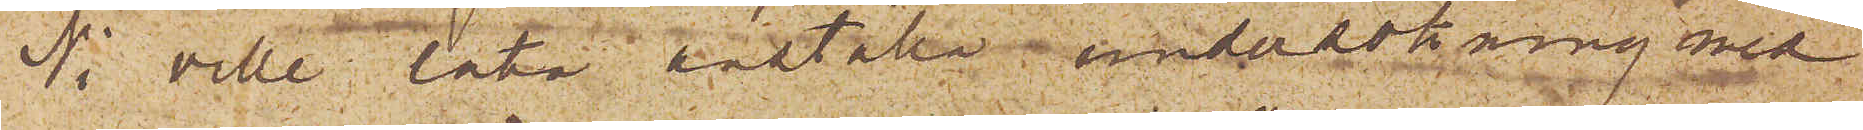Ni ville låta anställa undersökning med
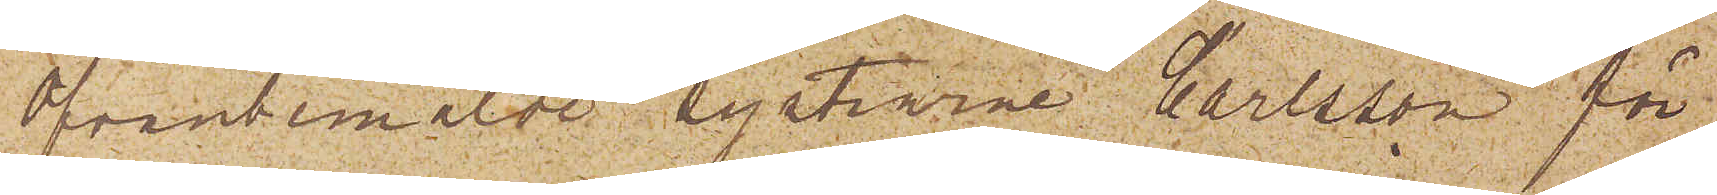Ofvanbemälde systrarne Carlsson för
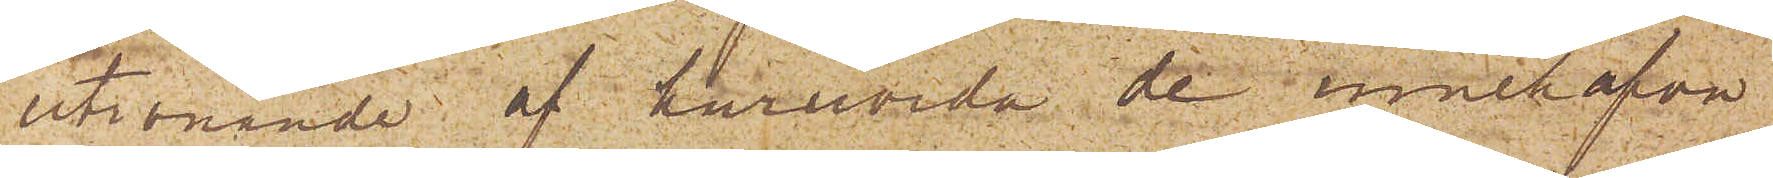utrönande af huruvida de innehafva
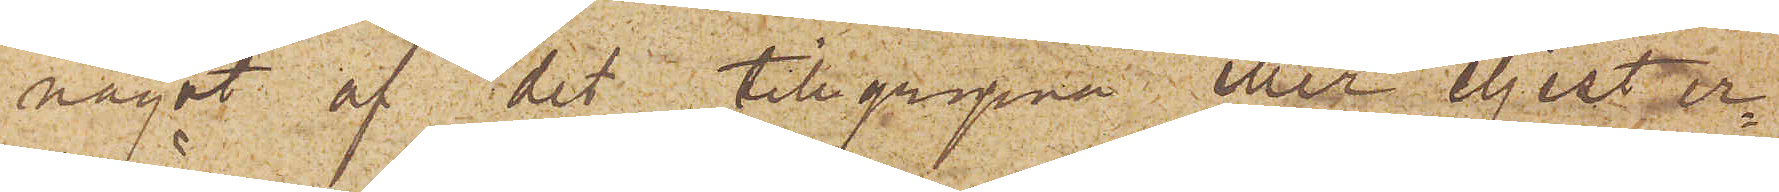något af det tillgripna eller eljest er¬
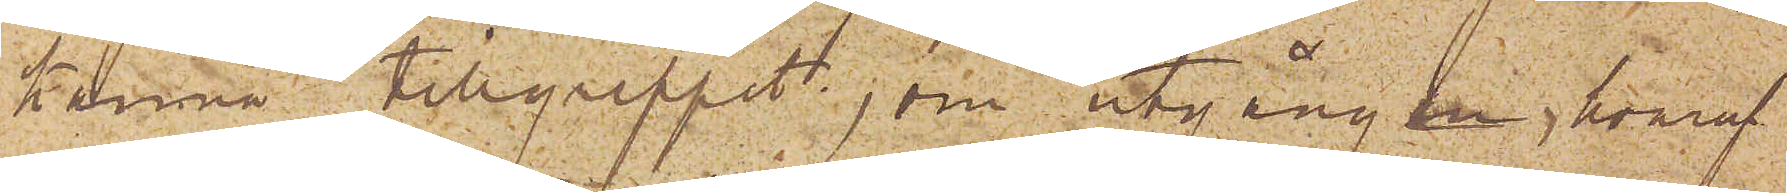känna tillgreppet, om utgången, hvaraf
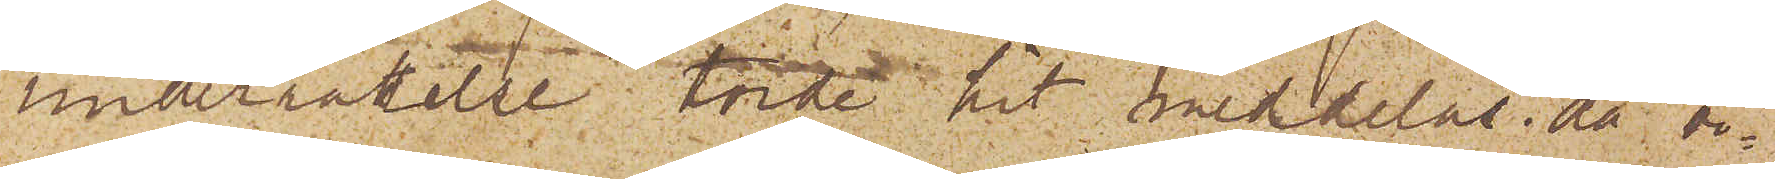underrättelse torde hit meddelas, då vi¬
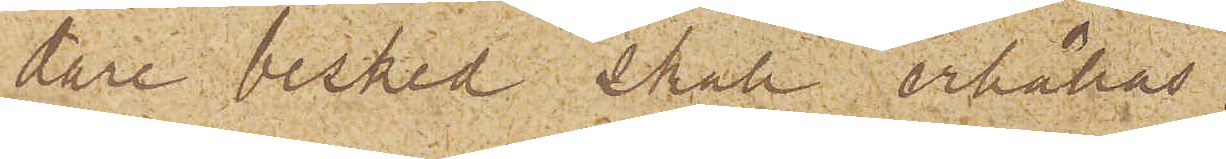dare besked skall erhållas.
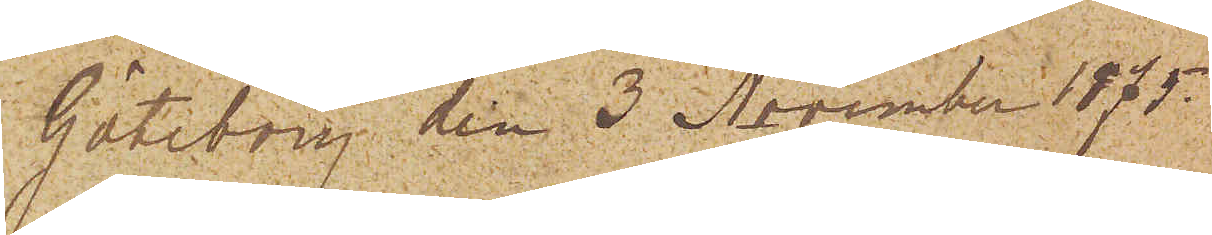Göteborg den 3 November 1875.
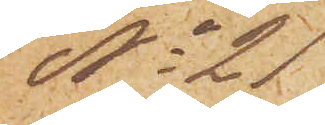No 21
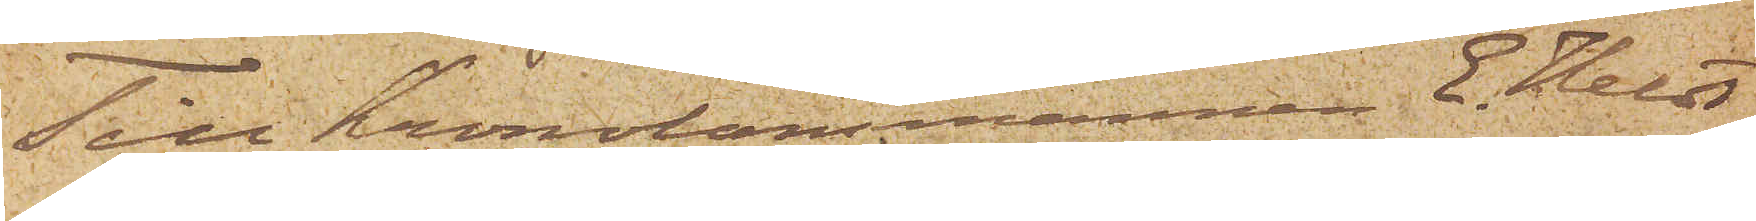Till Kronolänsmannen E. Heldt
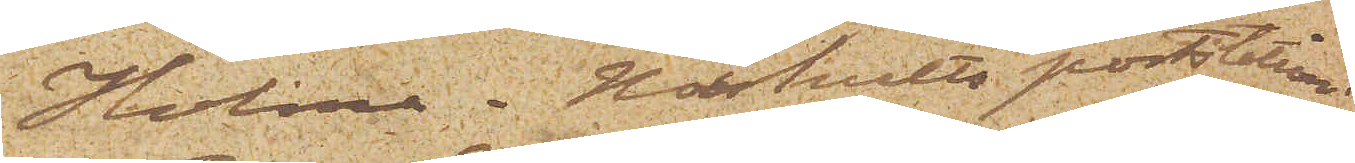Holma, Härhults poststation.
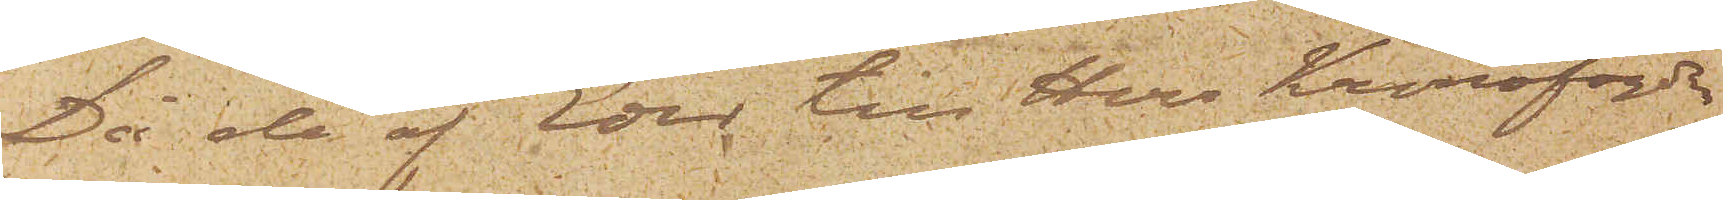Då de af Eder till Herr Kronofogde
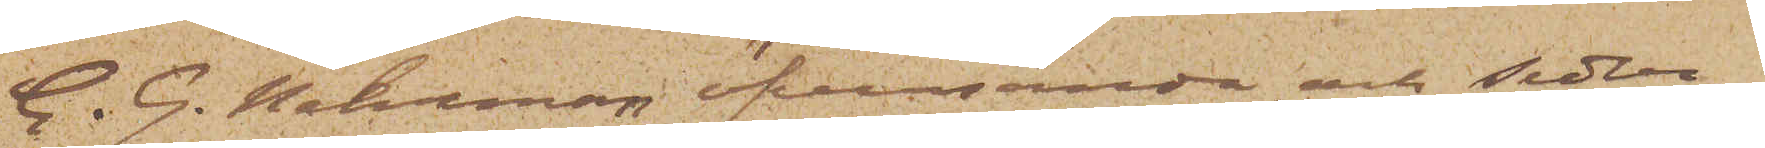C. G. Nehrman öfversända, och Seder¬
